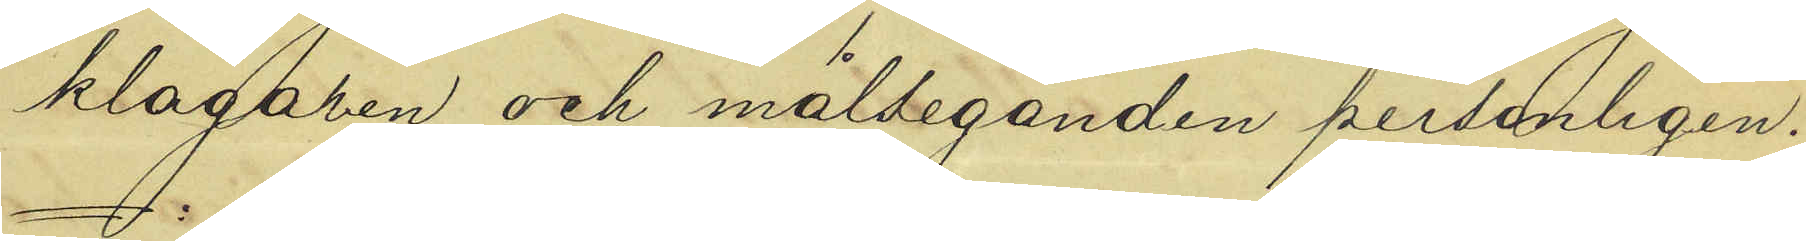klagaren och målseganden personligen.
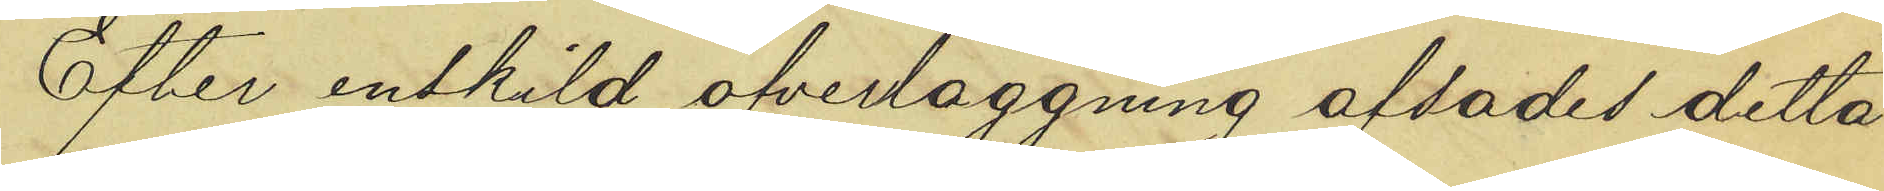Efter enskild öfverläggning afsades detta
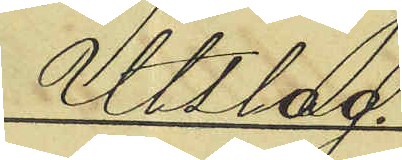Utslag.
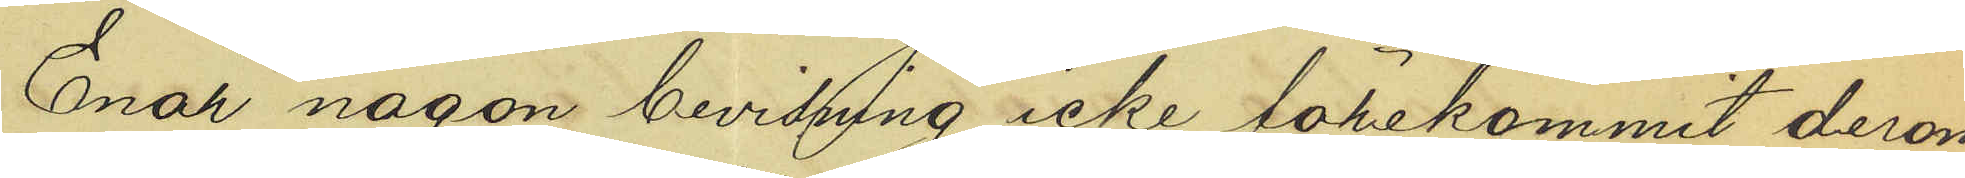Enär någon bevisning icke förekommit derom
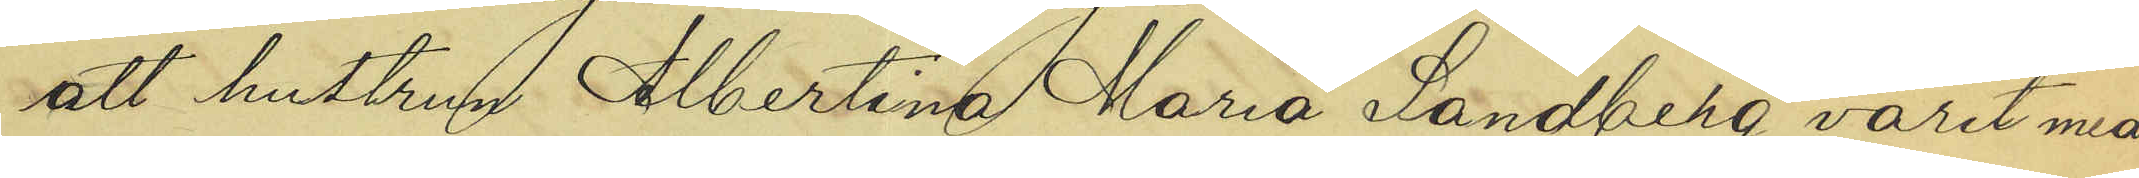att hustrun Albertina Maria Sandberg varit med¬
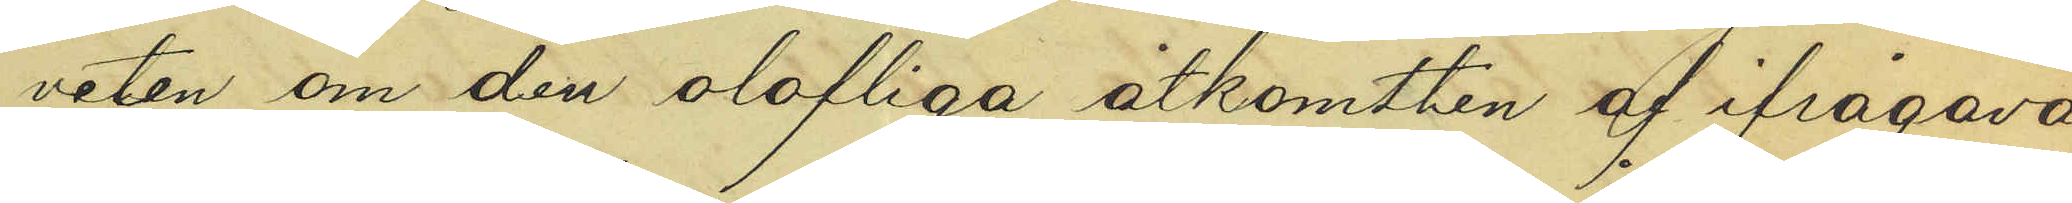veten om den olofliga åtkomsten af ifrågava¬
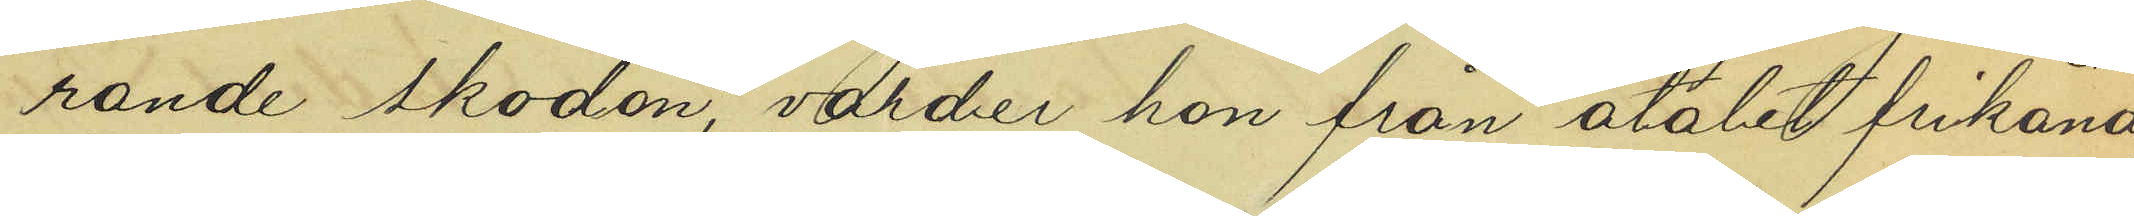rande skodon, varder hon från åtalet frikänd.
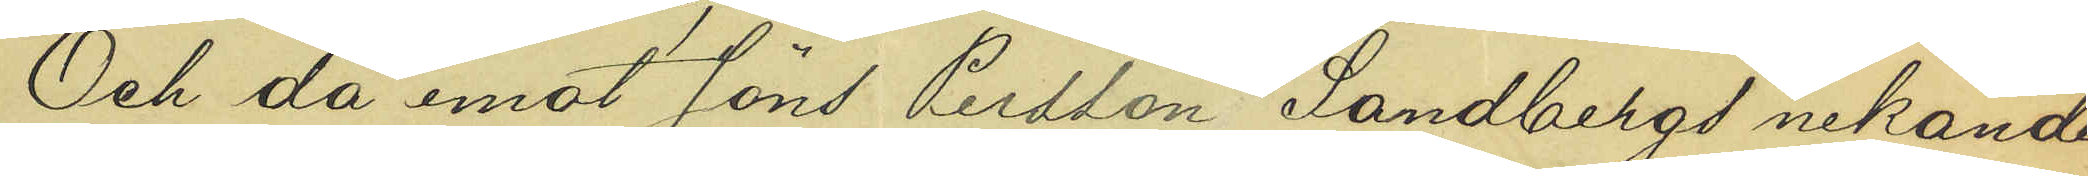Och då emot Jöns Persson Sandbergs nekande
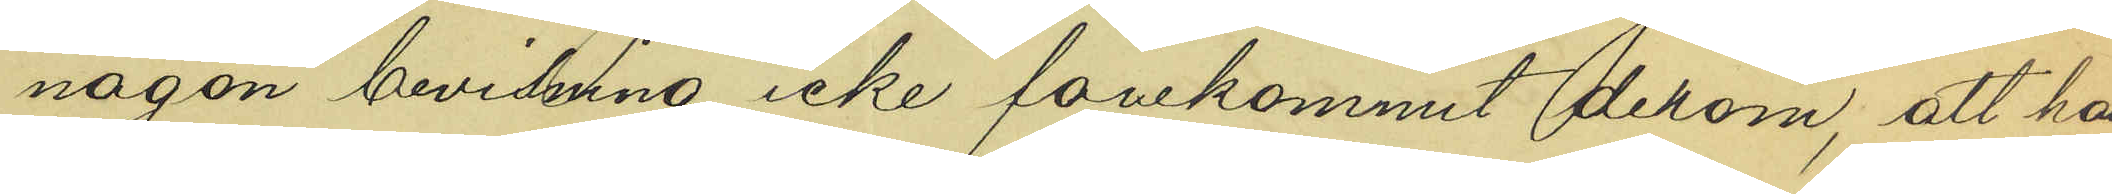någon bevisning icke förekommit derom, att han
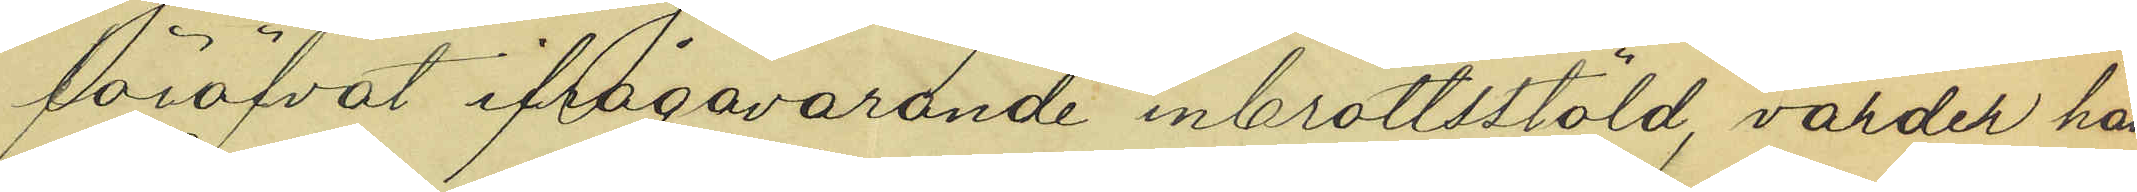föröfvat ifrågavarande inbrottsstöld, varder han
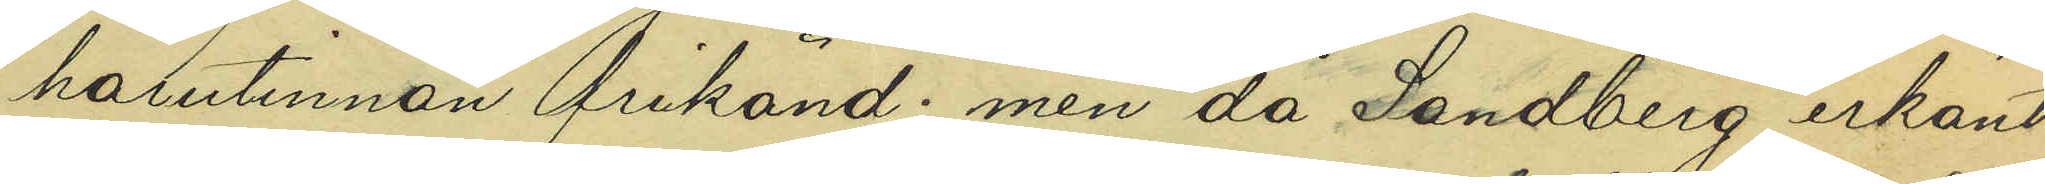härutinnan frikänd; men då Sandberg erkänt
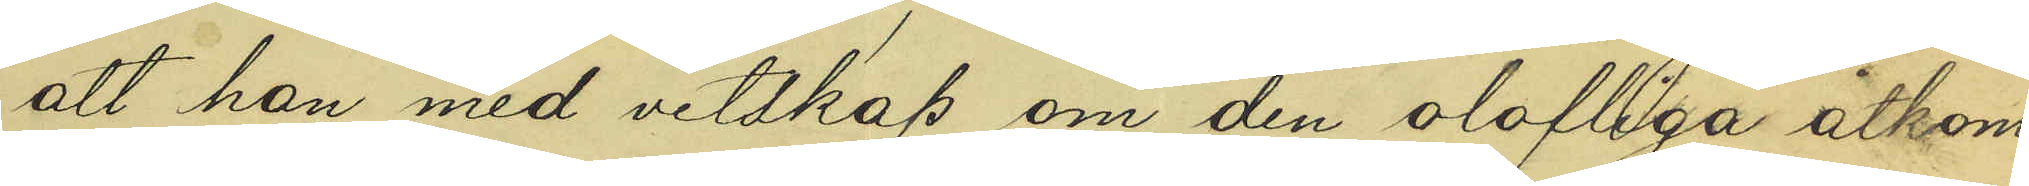att han med vetskap om den olofliga åtkom¬
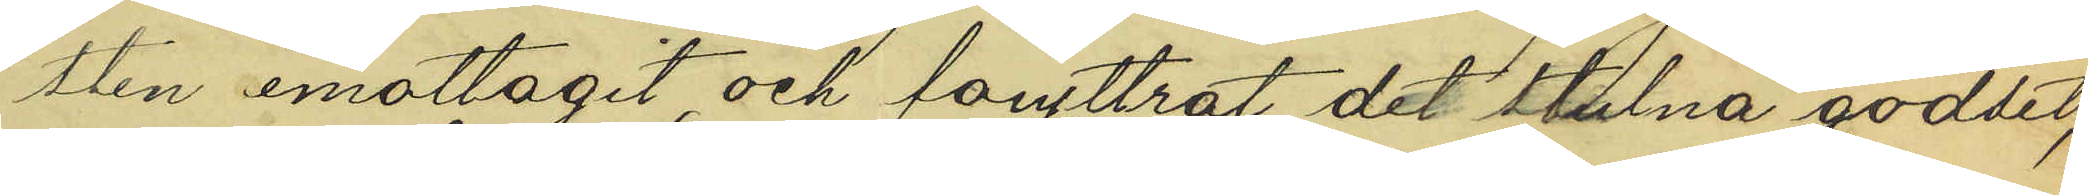sten emottagit och föryttrat det stulna godset,
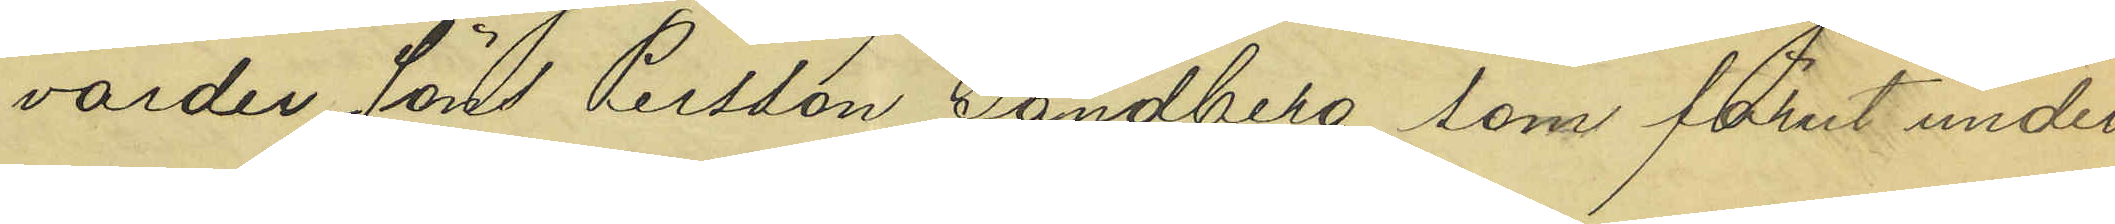varder Jöns Persson Sandberg, som förut under¬
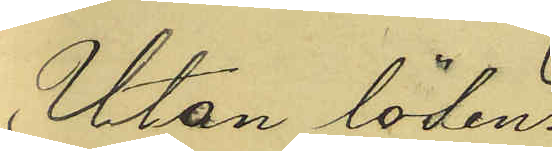Utan lösen
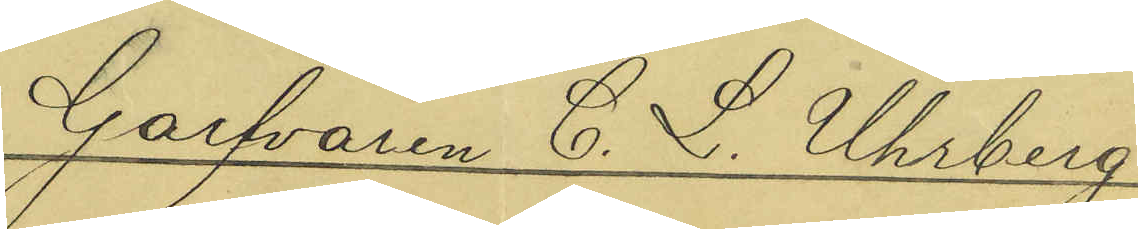Garfvaren C. L. Uhrberg.
